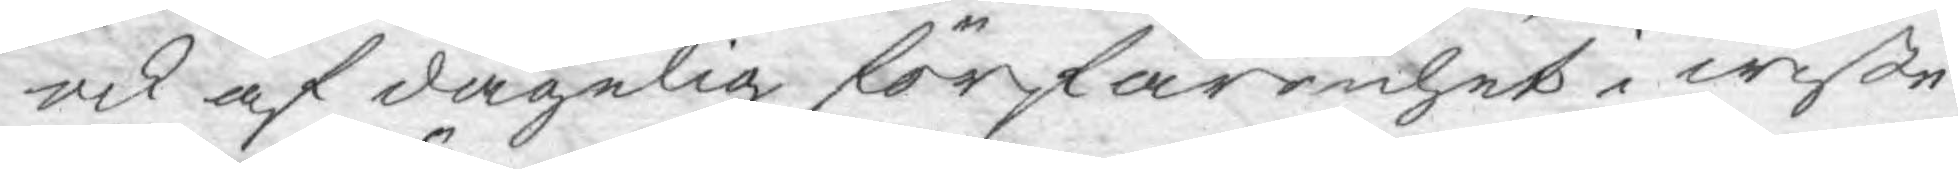ock af dagelig förfarenhet i wiße
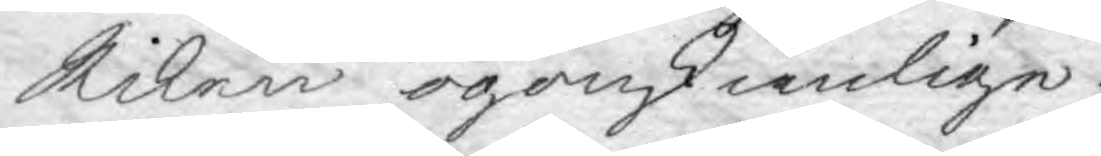Riken ögonskienlige.
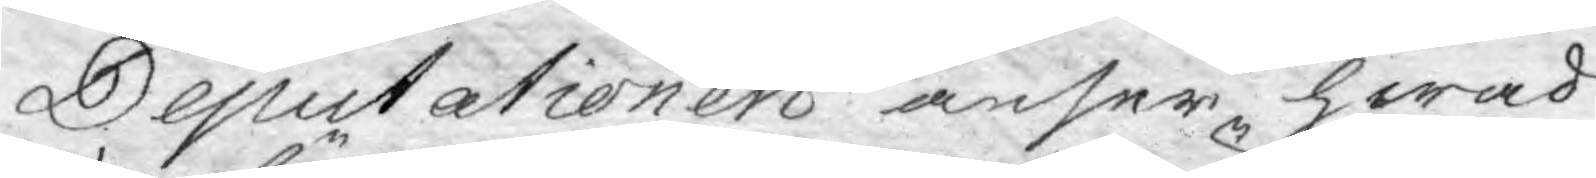Deputationen anser hwad
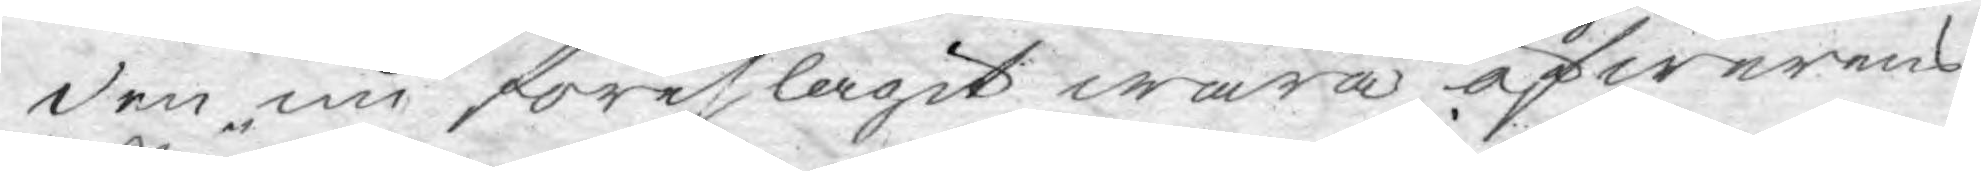den nu föreslagit wara öfwerens¬
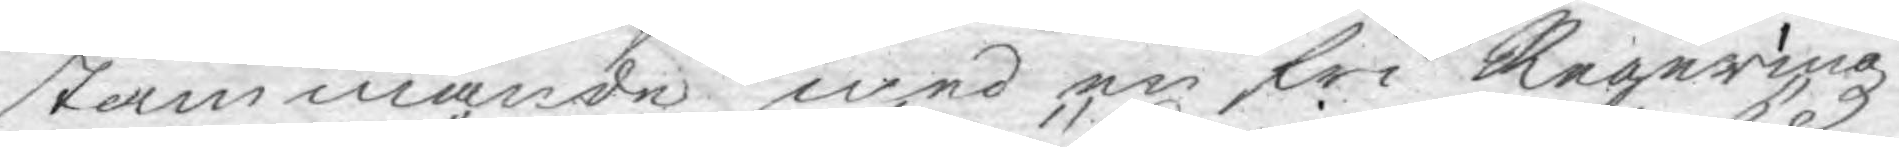stämmande med en fri Regeringz
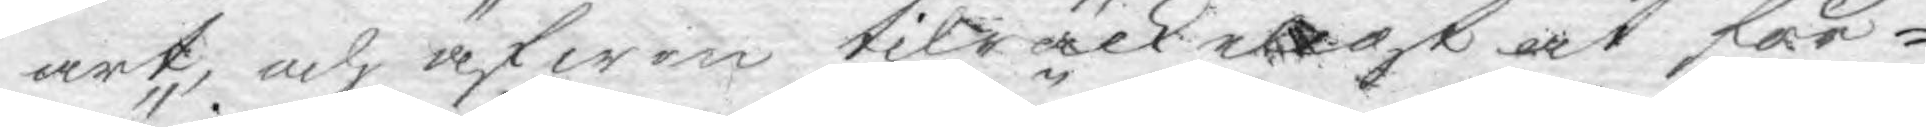art, och äfwen tilräckeligt at för¬
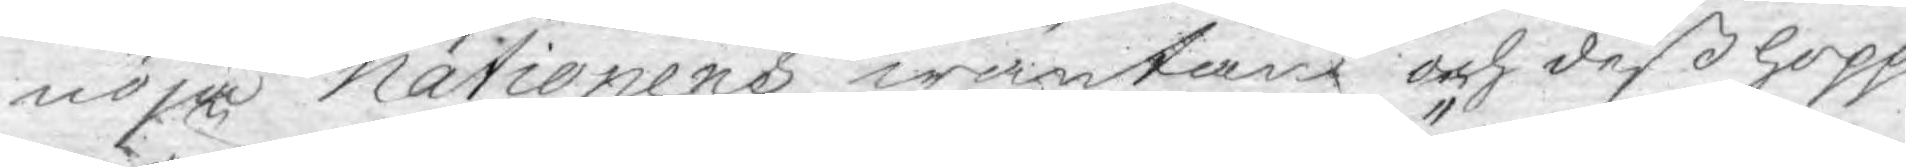nöja nationens wäntan och deß hopp,
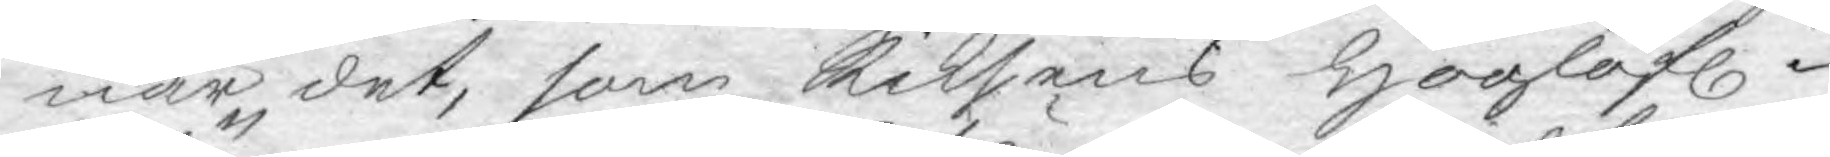när det, som Riksens Höglofl.
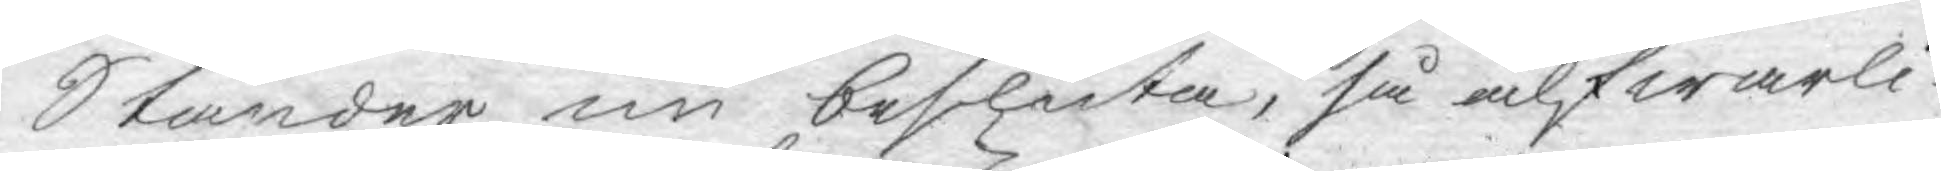Ständer nu besluta, så alfwarli¬
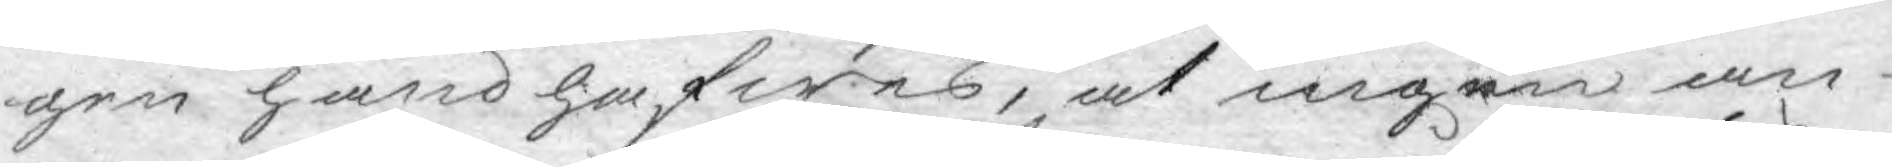gen handhafwes, at ingen an¬
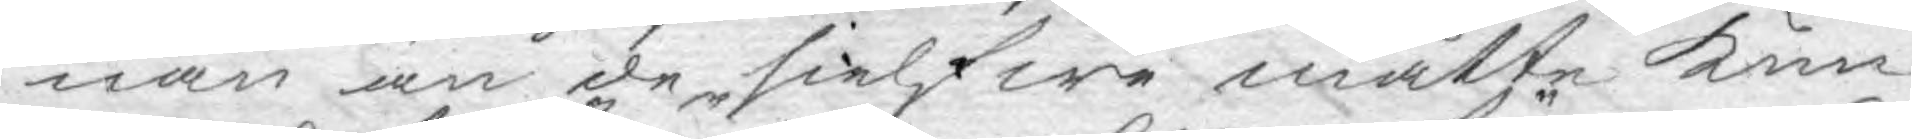nan än de sielfwa måtte kun¬
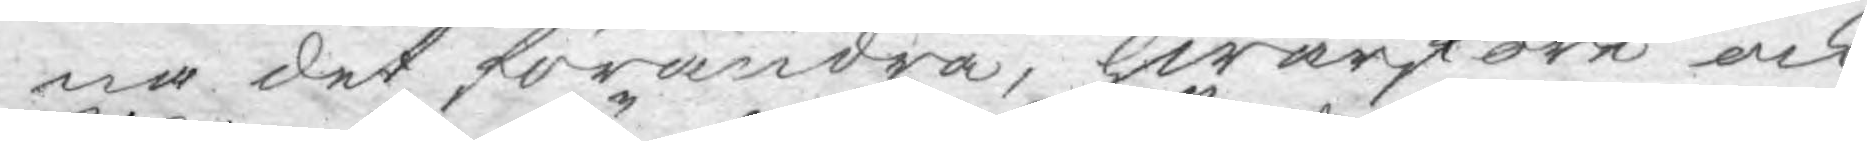na det förändra, hwarföre ock
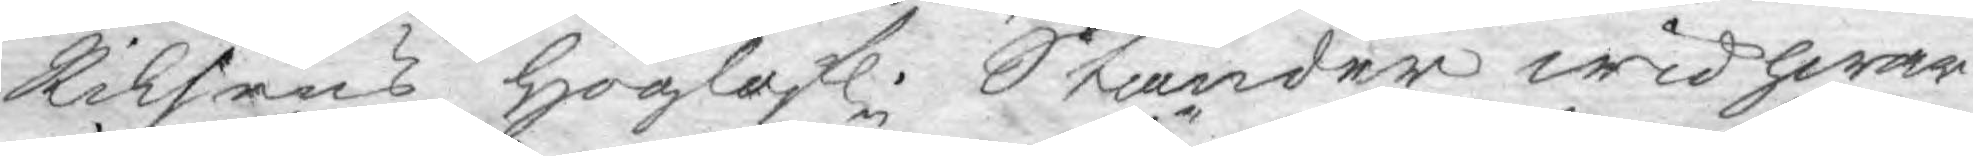Riksens höglofl. Ständer wid hwar¬
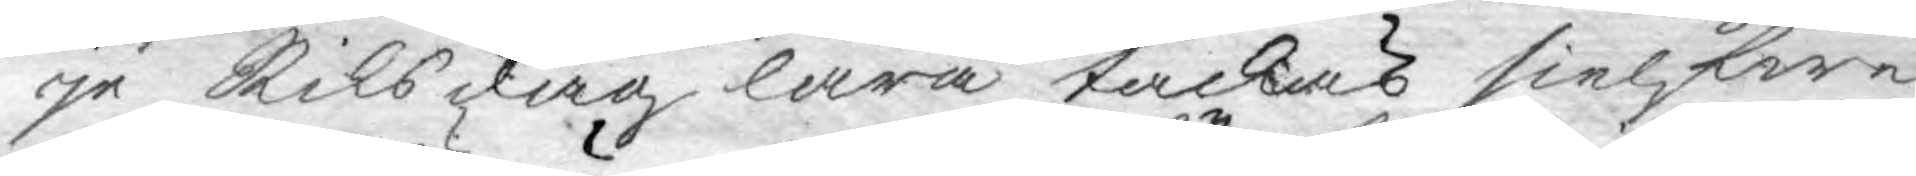je Riksdag lära täckas sielfwe
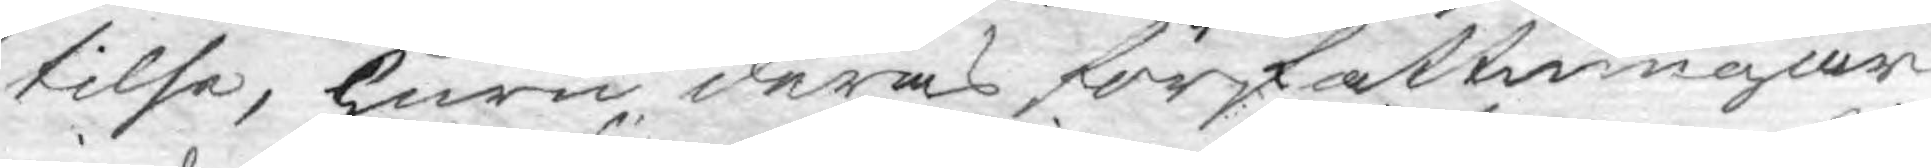tilse, huru deras författningar
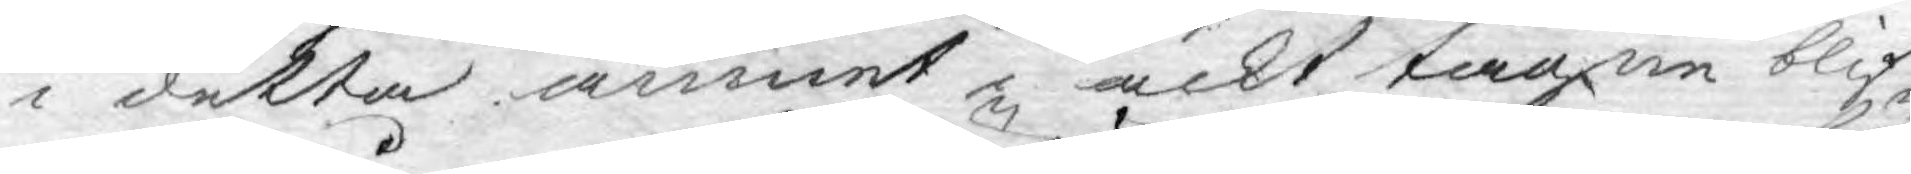i detta ämnet i ackt tagne blif¬
